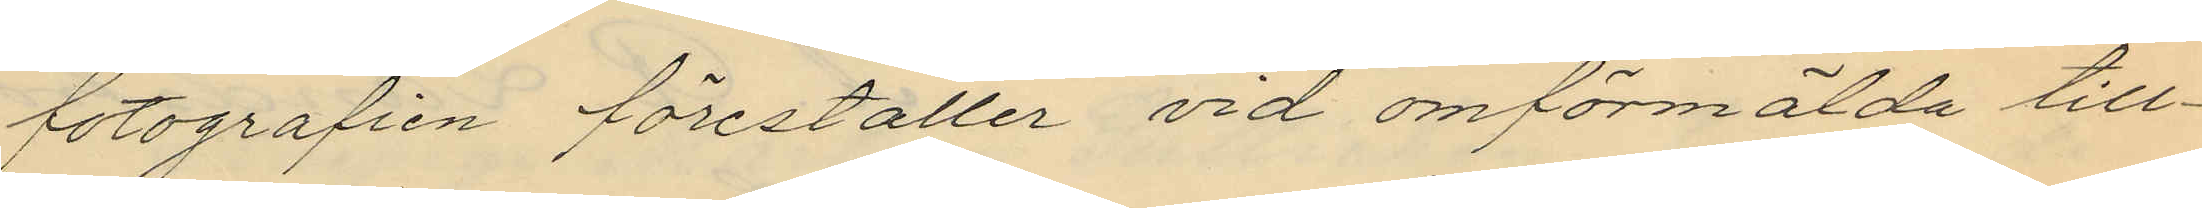fotografien förestaller vid omförmälda till¬
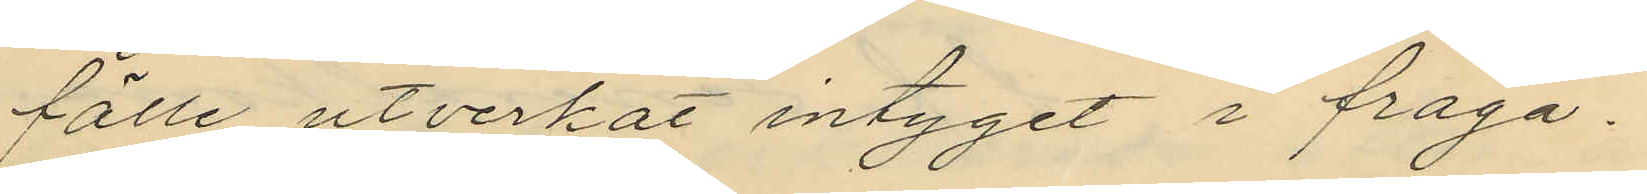fälle utverkat intyget i fråga.
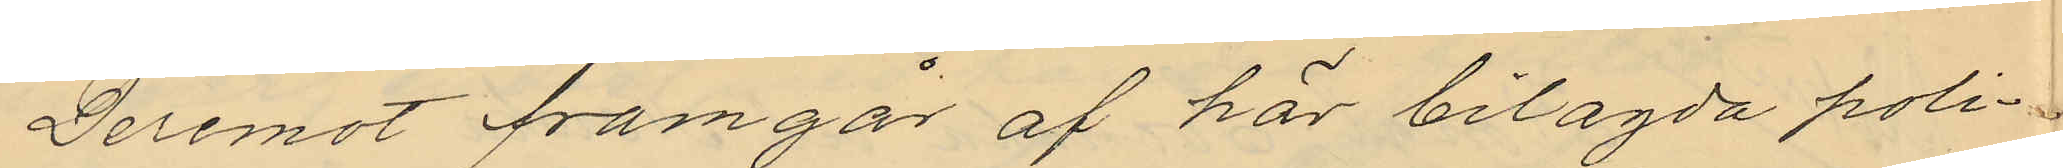Deremot framgår af här bilagda poli¬
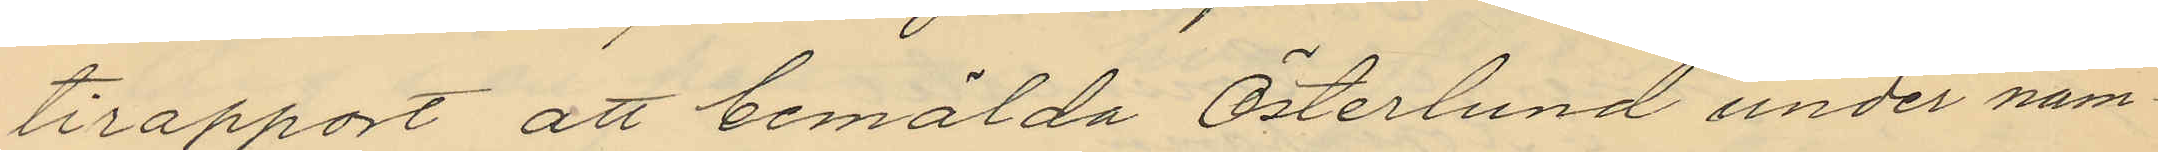tirapport att bemälda Österlund under nam¬
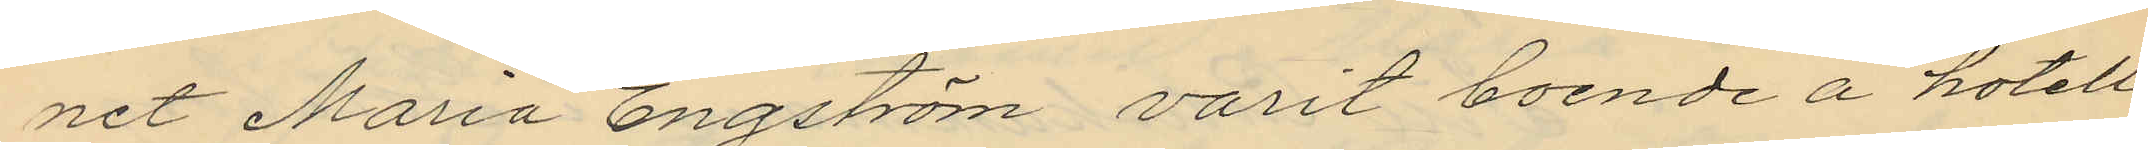net Maria Engström varit boende å hotell
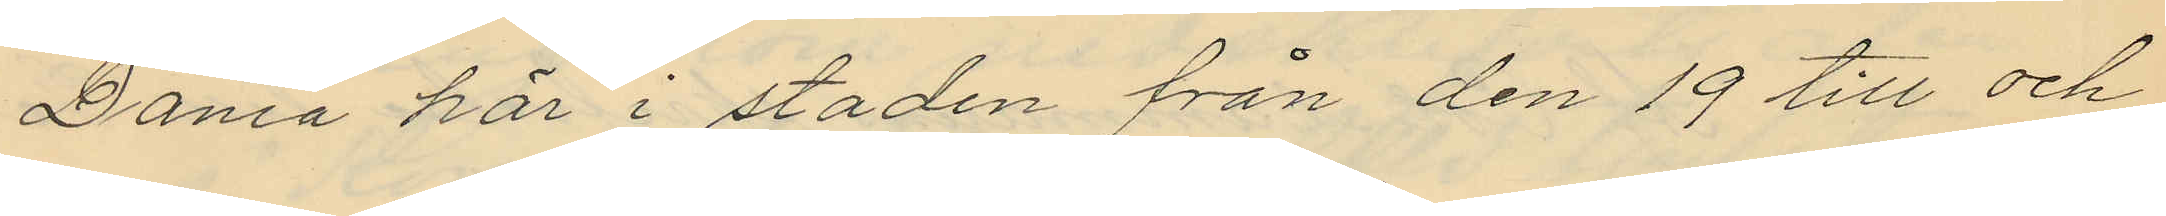Dania här i staden från den 19 till och
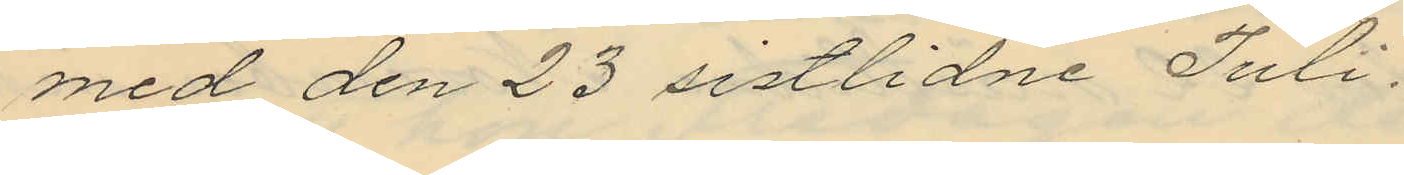med den 23 sistlidne Juli.
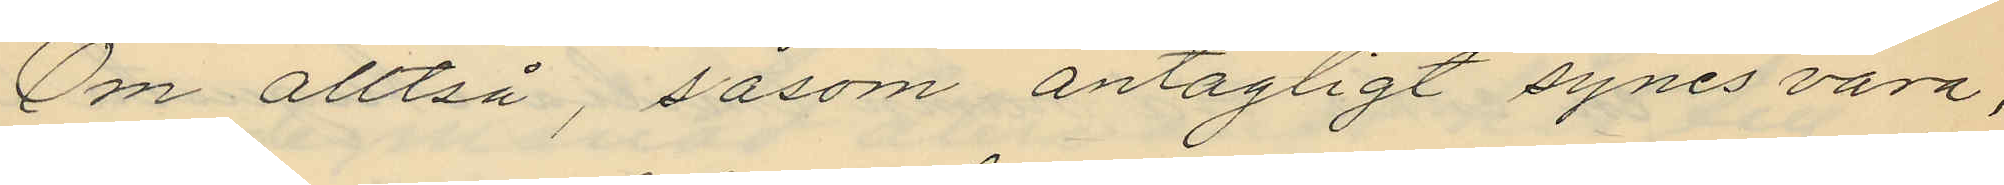Om alltså, såsom antagligt synes vara,
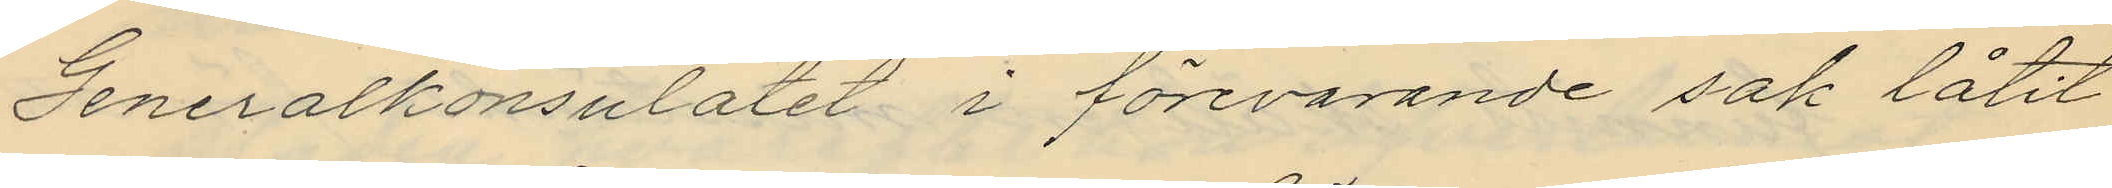Generalkonsulatet i förevarande sak låtit
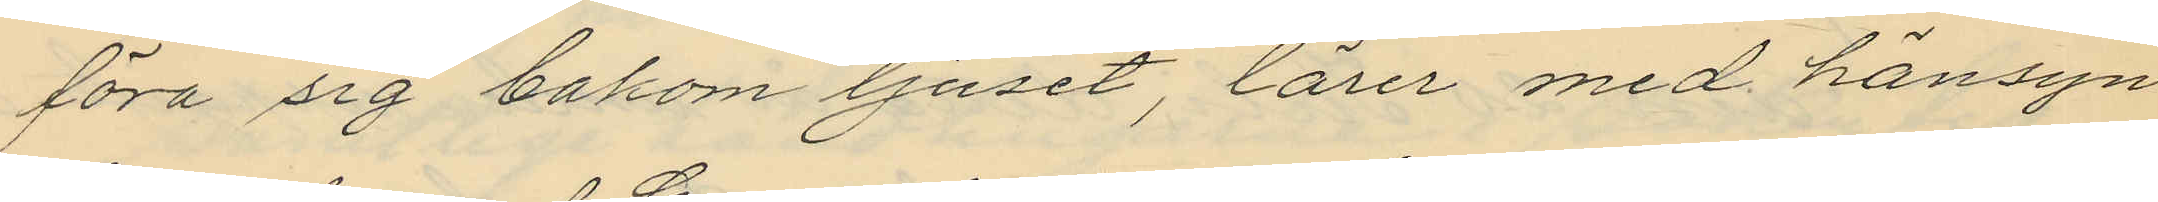föra sig bakom ljuset, lärer med hänsyn
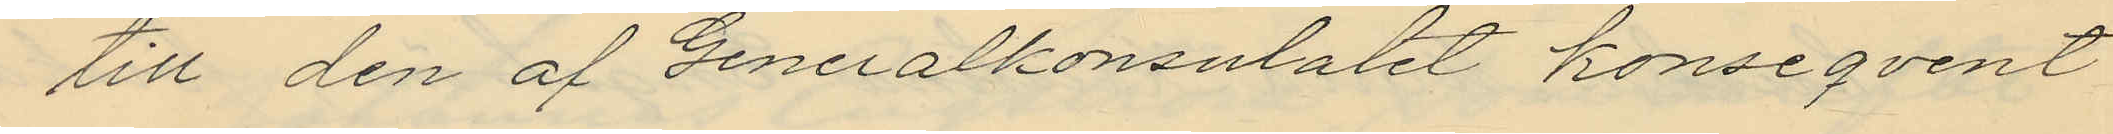till den af Generalkonsulatet konseqvent
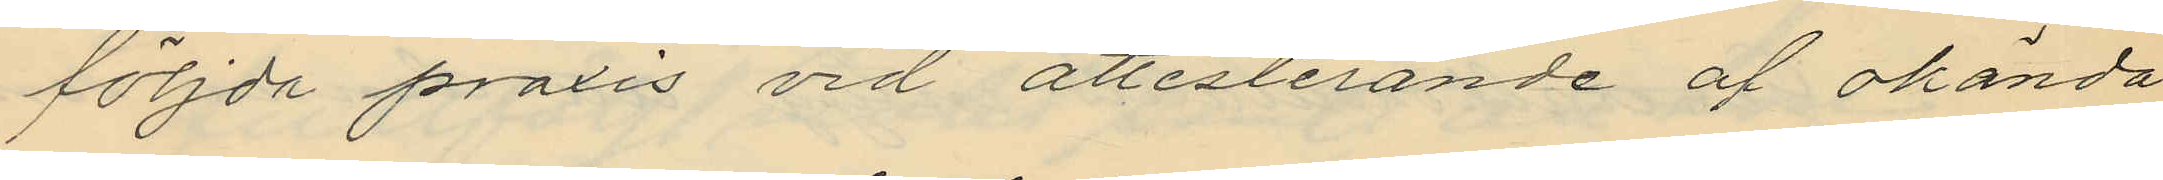följda praxis vid attesterande af okända
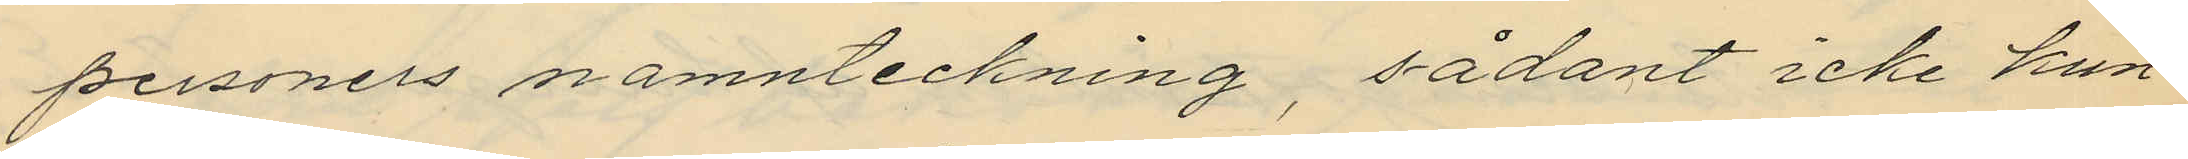personers namnteckning, sådant icke kun¬
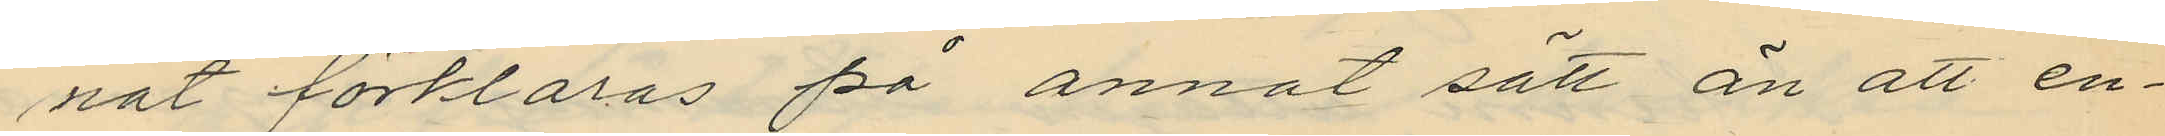nat förklaras på annat sätt än att en¬
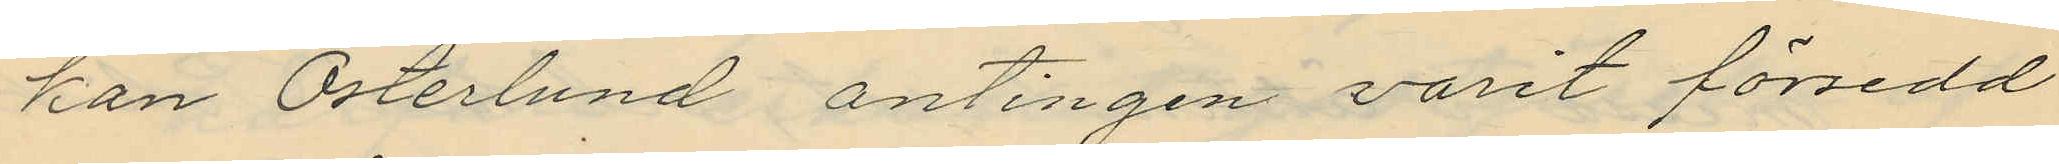kan Österlund antingen varit försedd
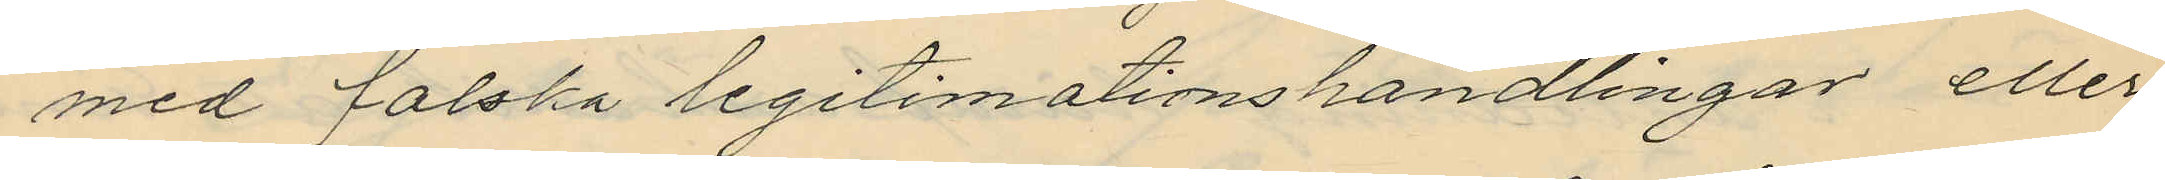med falska legitimationshandlingar eller
